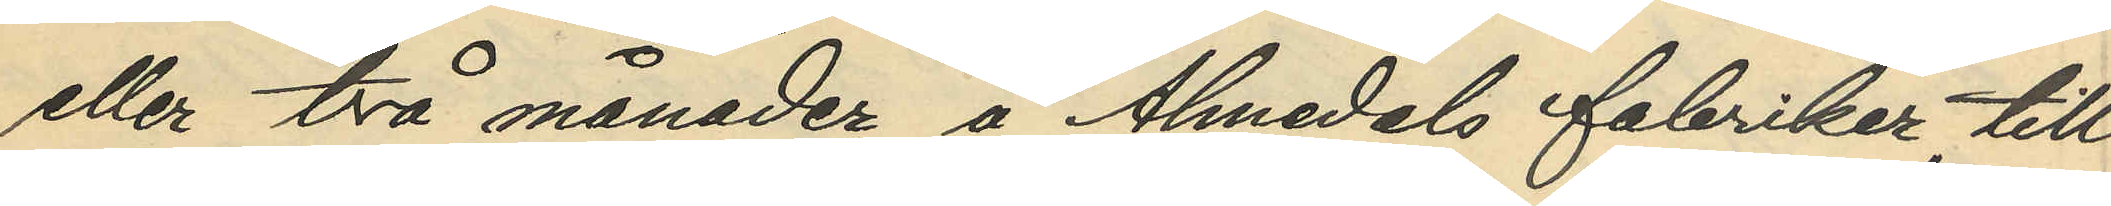eller två månader å Almedals fabriker, till
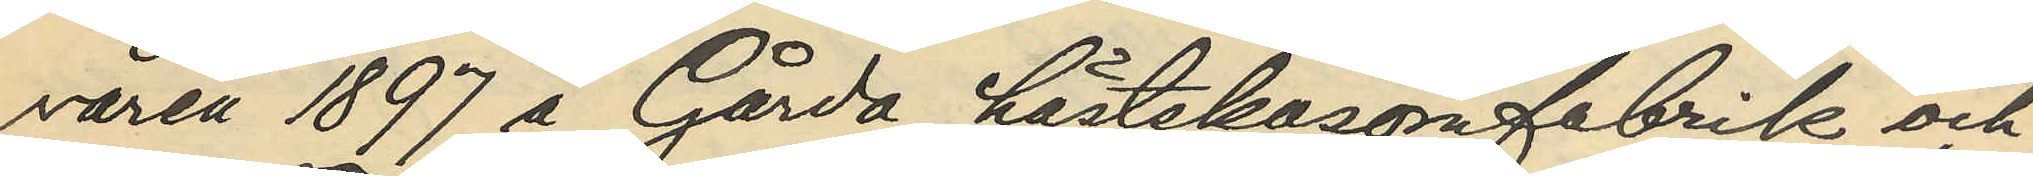våren 1897 å Gårda hästskosömfabrik och
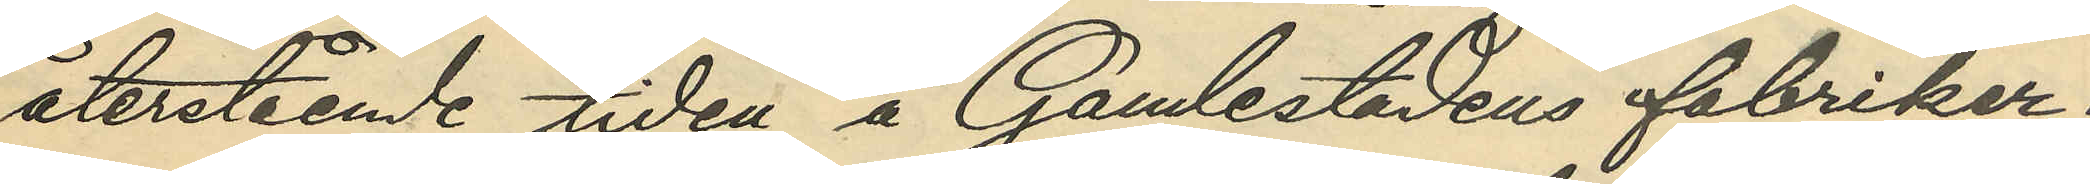återstående tiden å Gamlestadens fabriker;
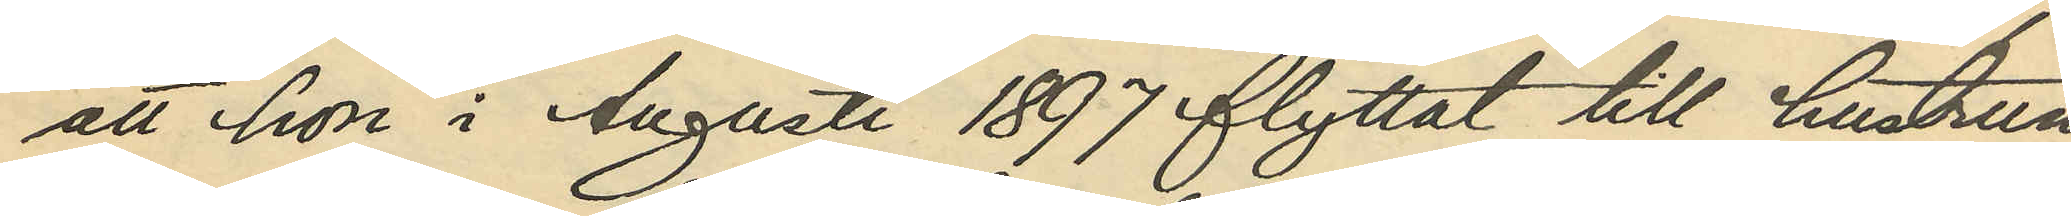att hon i Augusti 1897 flyttat till hustrun
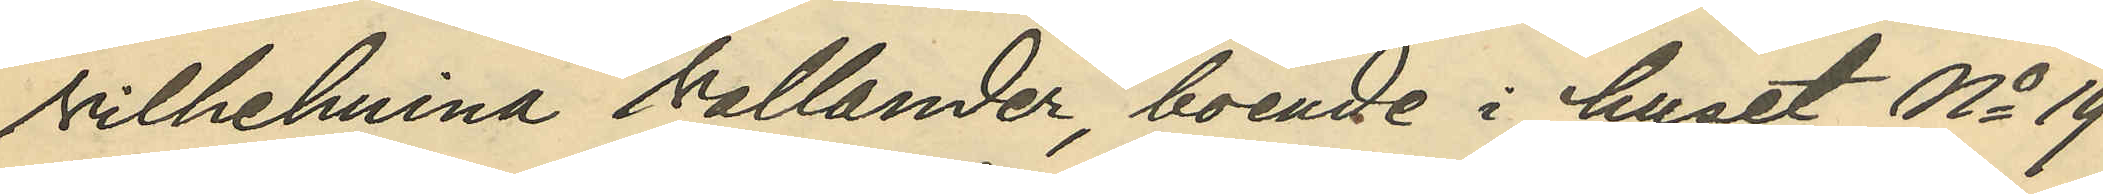Vilhelmina Vallander, boende i huset No 19
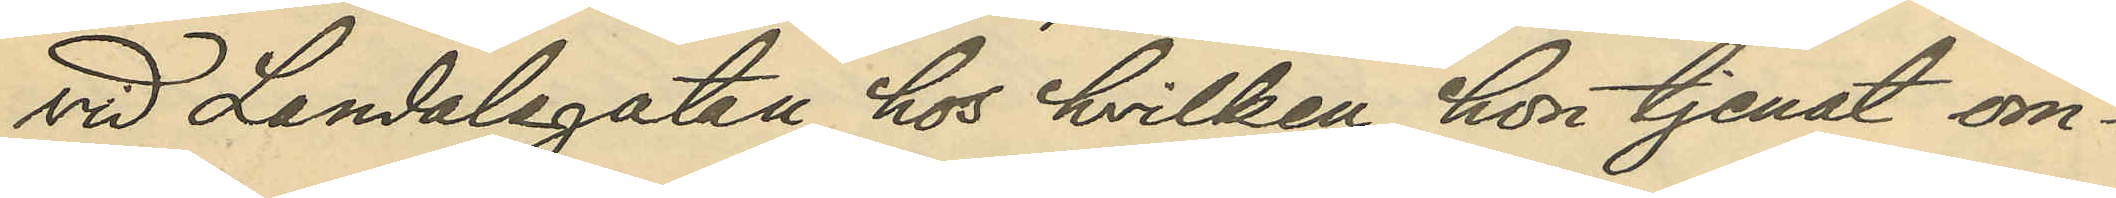vid Landalagatan, hos hvilken hon tjenat om¬
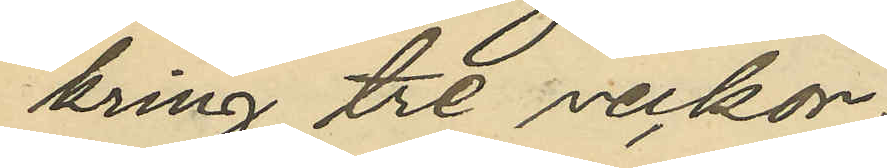kring tre veckor;
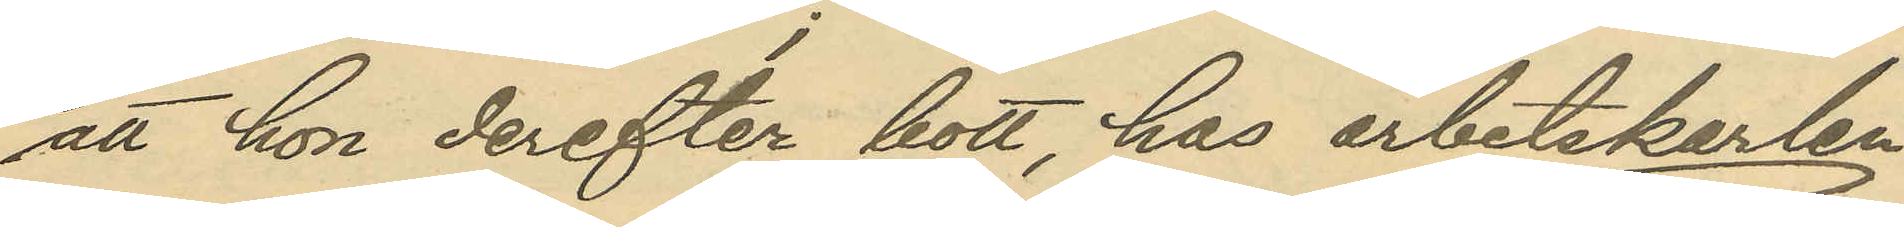att hon derefter bott, hos arbetskarlen
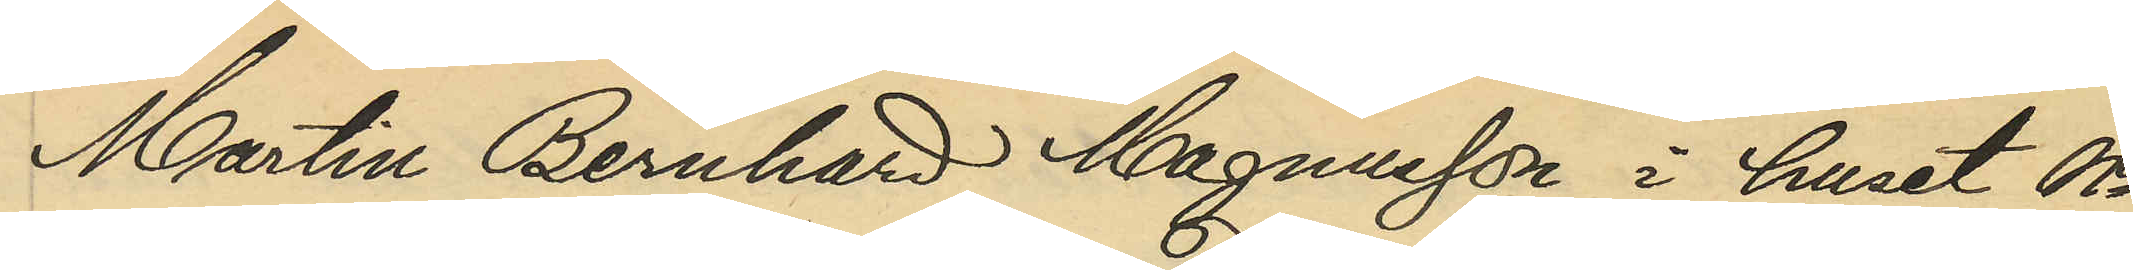Martin Bernhard Magnusson i huset No
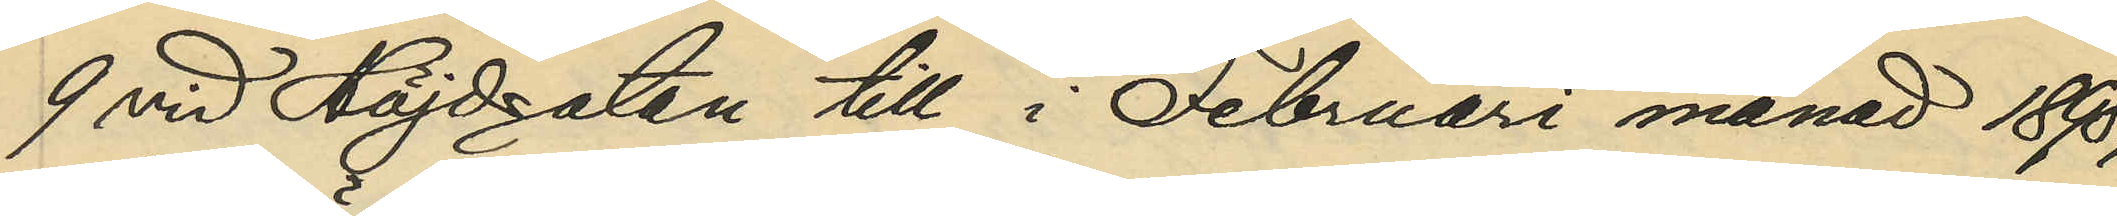9 vid Höjdsgatan till i Februari månad 1898,
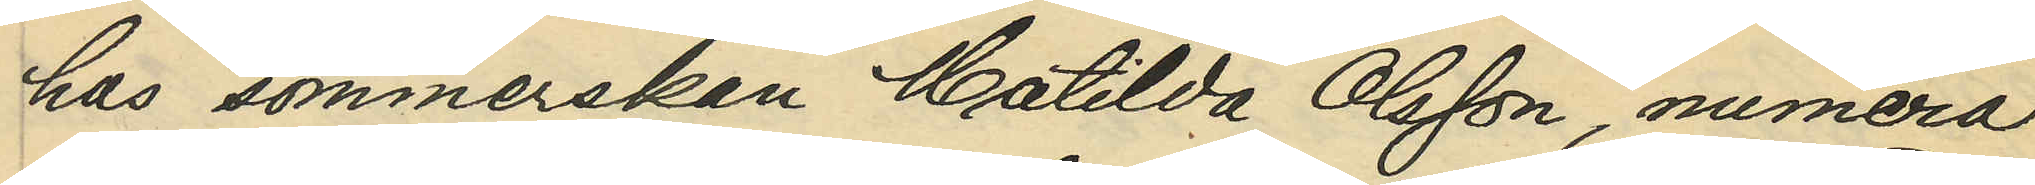hos sömmerskan Matilda Olsson, numera
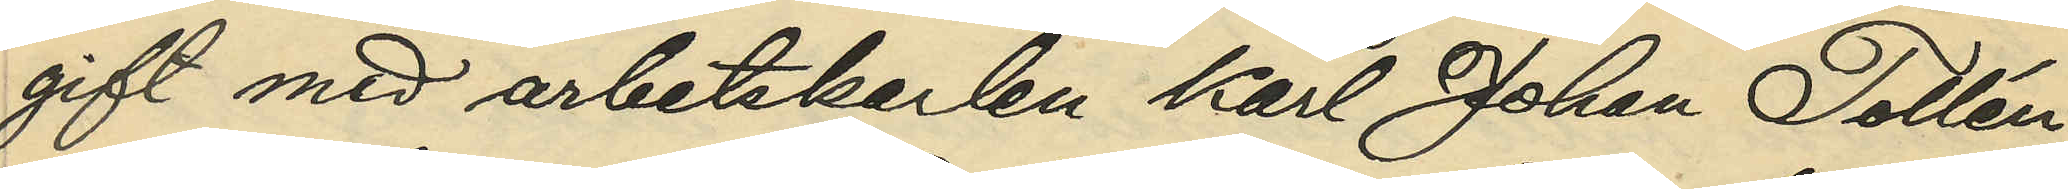gift med arbetskarlen Karl Johan Tollén,
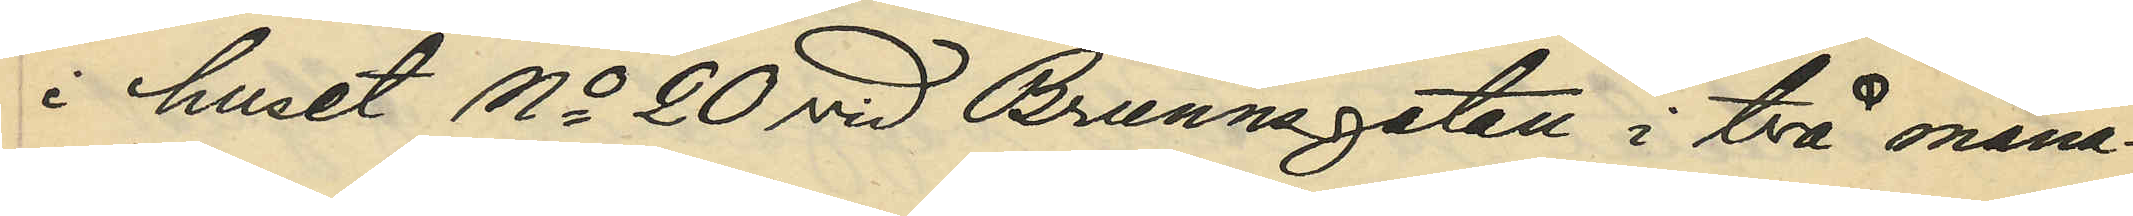i huset No 20 vid Brunnsgatan i två måna¬
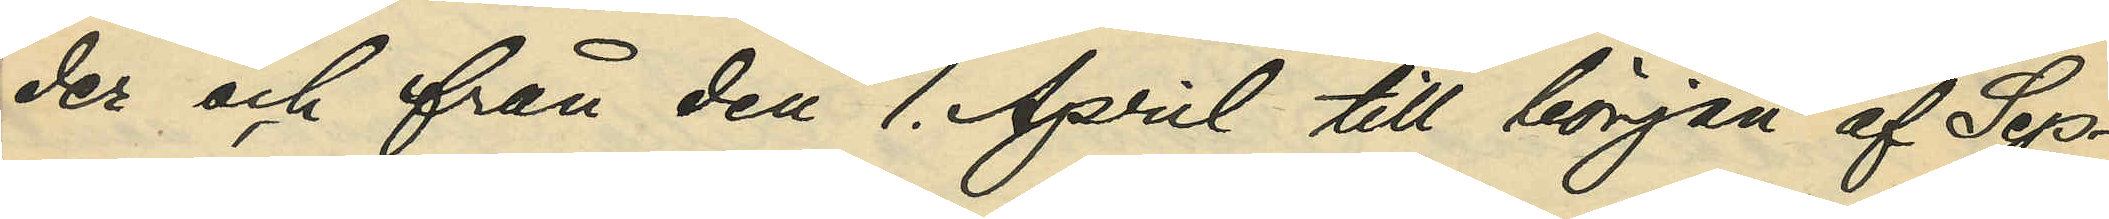der och från den 1. April till början af Sep¬
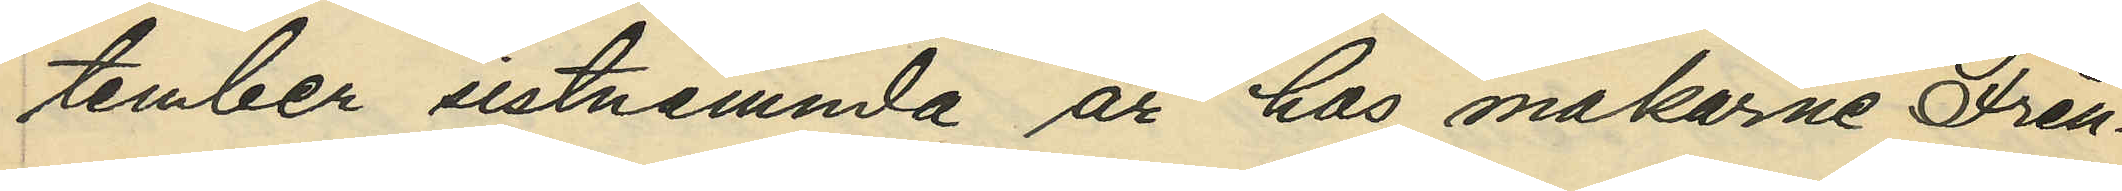tember sistnämnda år hos makarne Fren¬
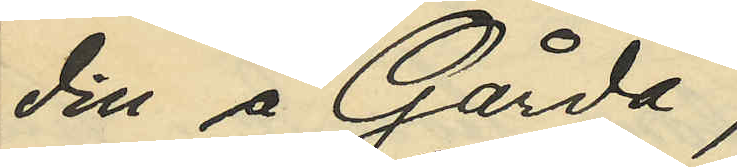din å Gårda;
